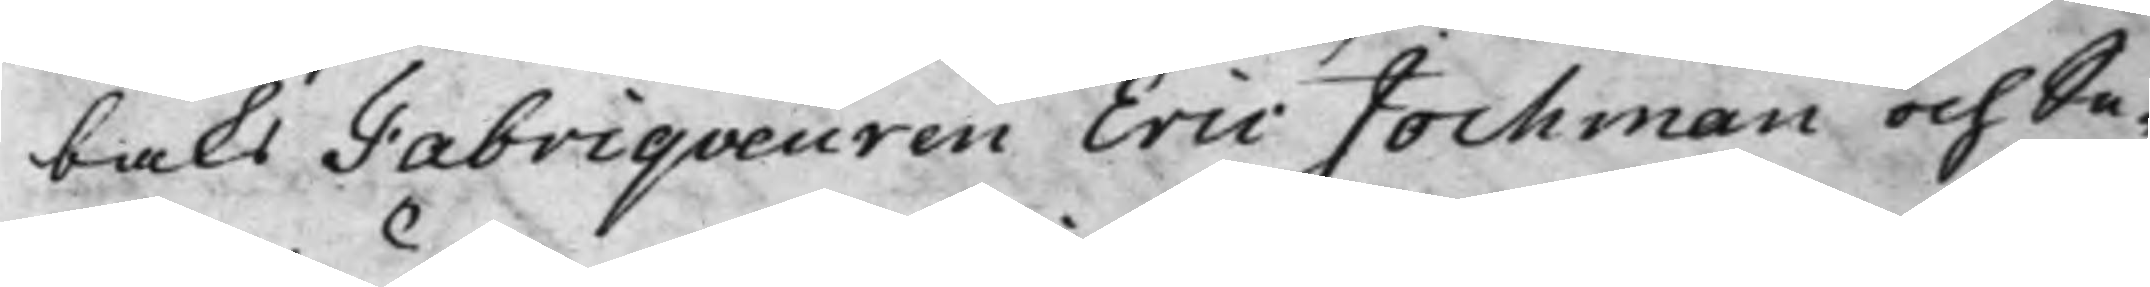baks Fabriqveuren Eric Jochman och Se¬
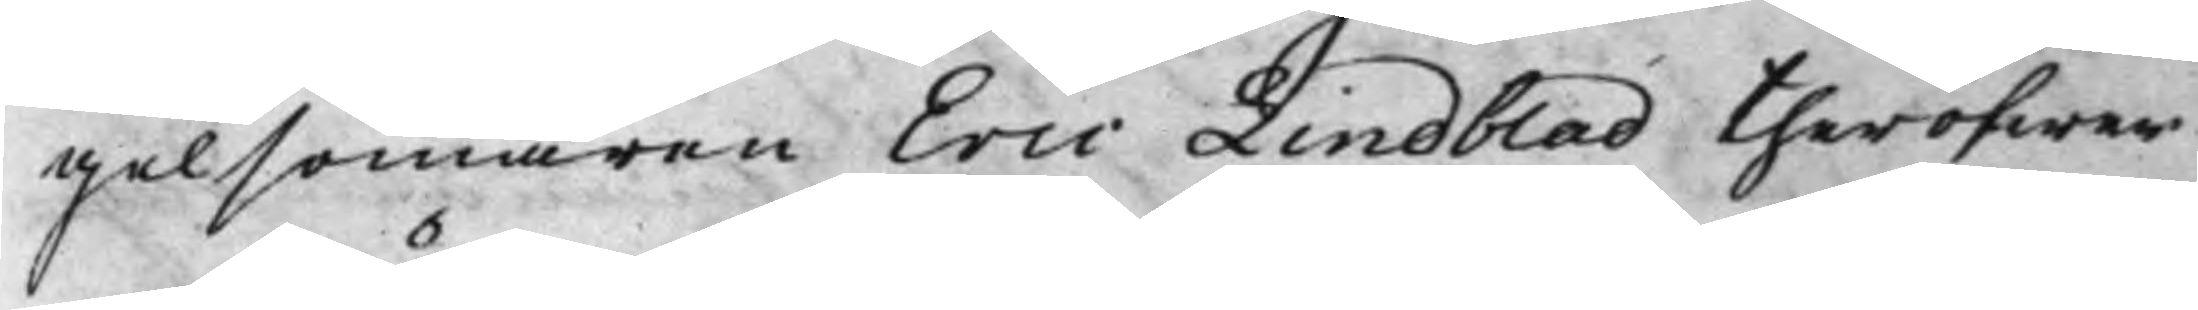gelsömaren Eric Lindblad theröfwer
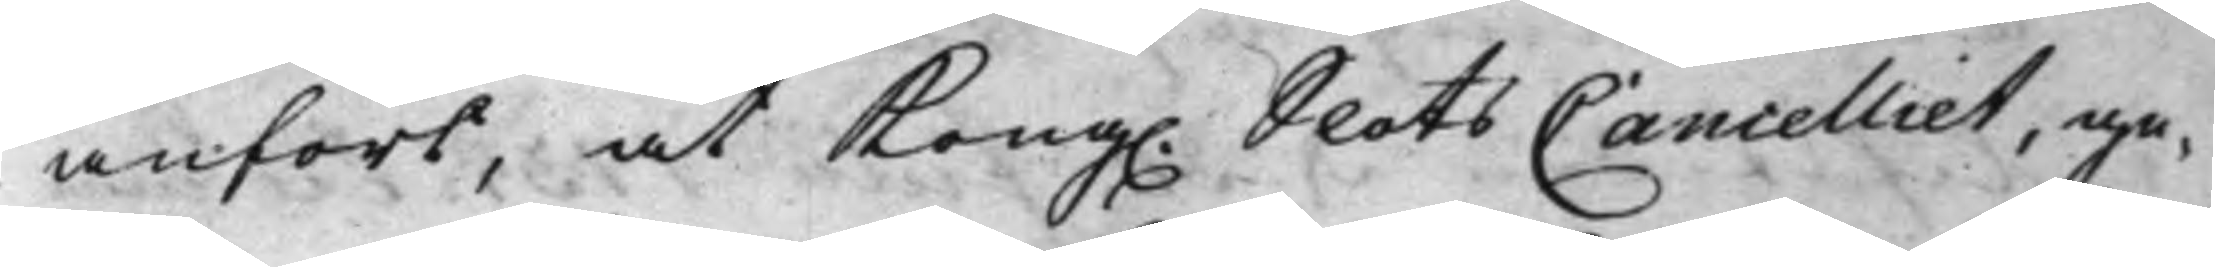anfört, at Kong. SlotsCancelliet, ge¬ 
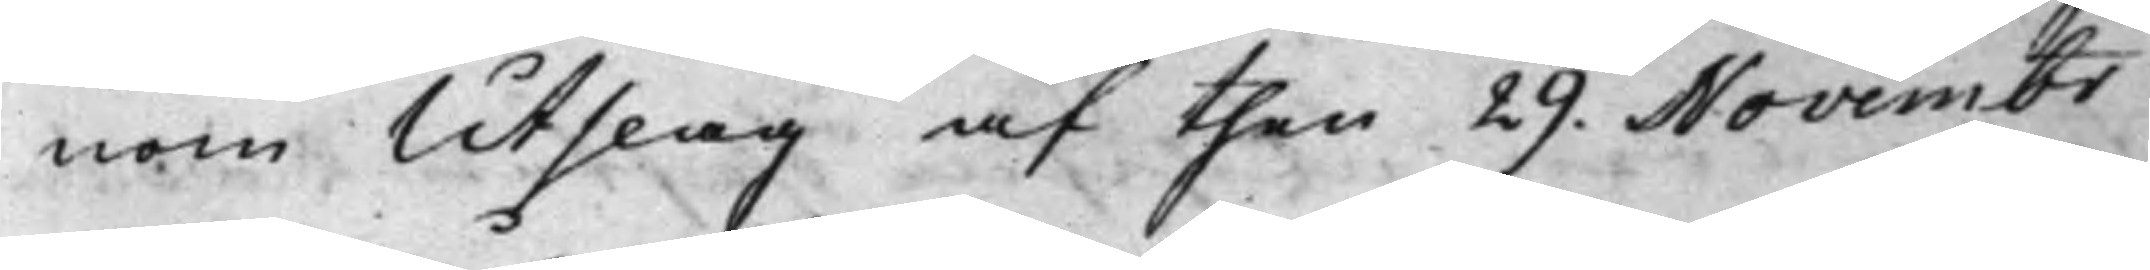nom Utslag af then 29. Novembr 
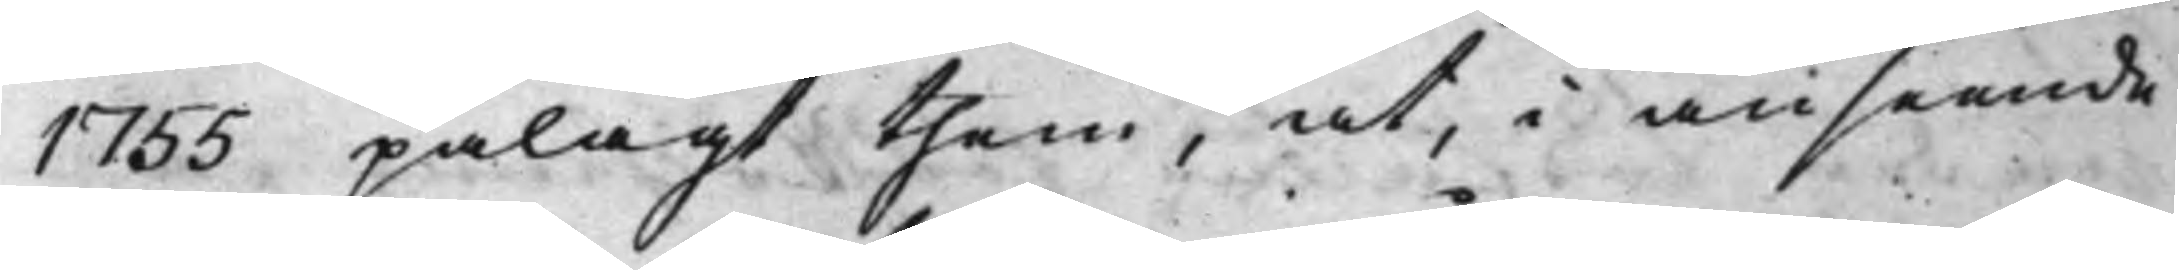1755 pålagt them, at, i anseende
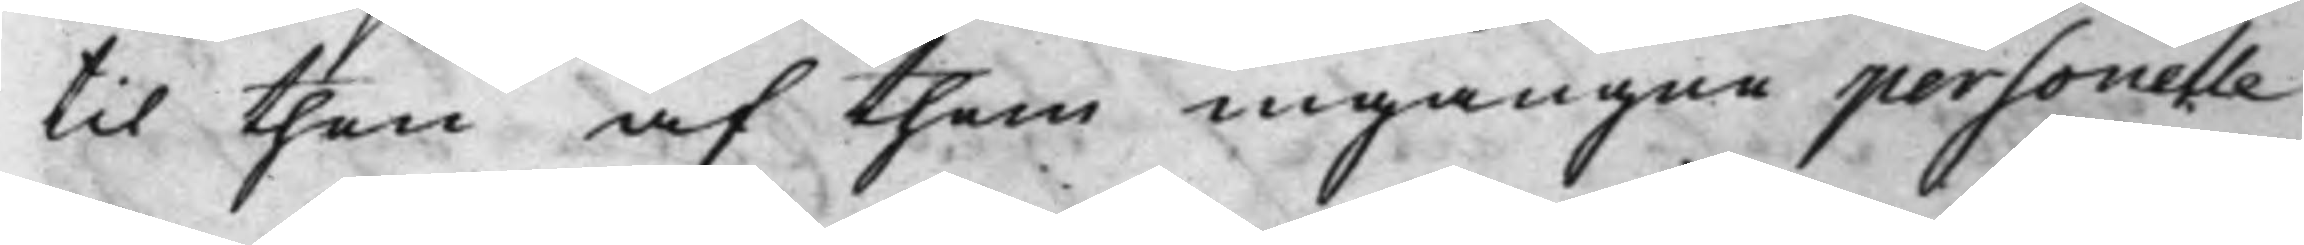til then af them ingångne personelle
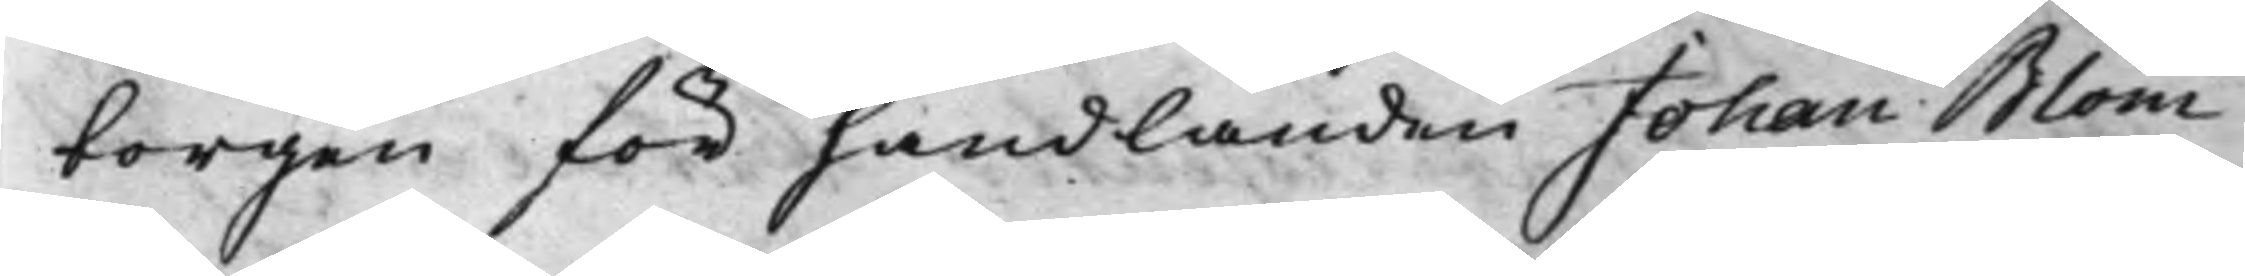borgen för handlanden Johan Blom
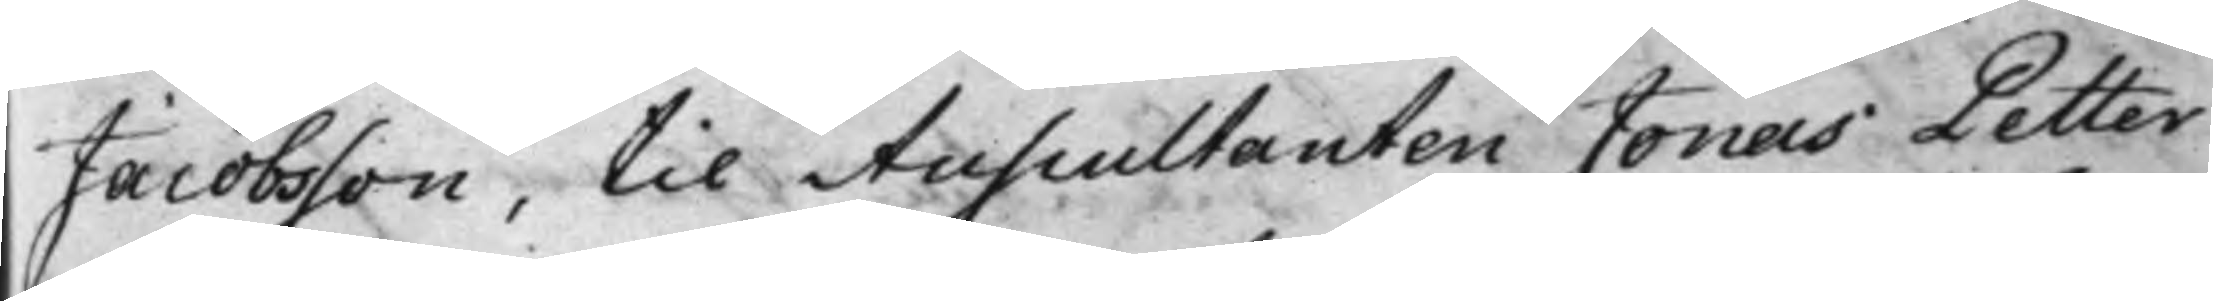Jacobsson, til Auscultanten Jonas Petter
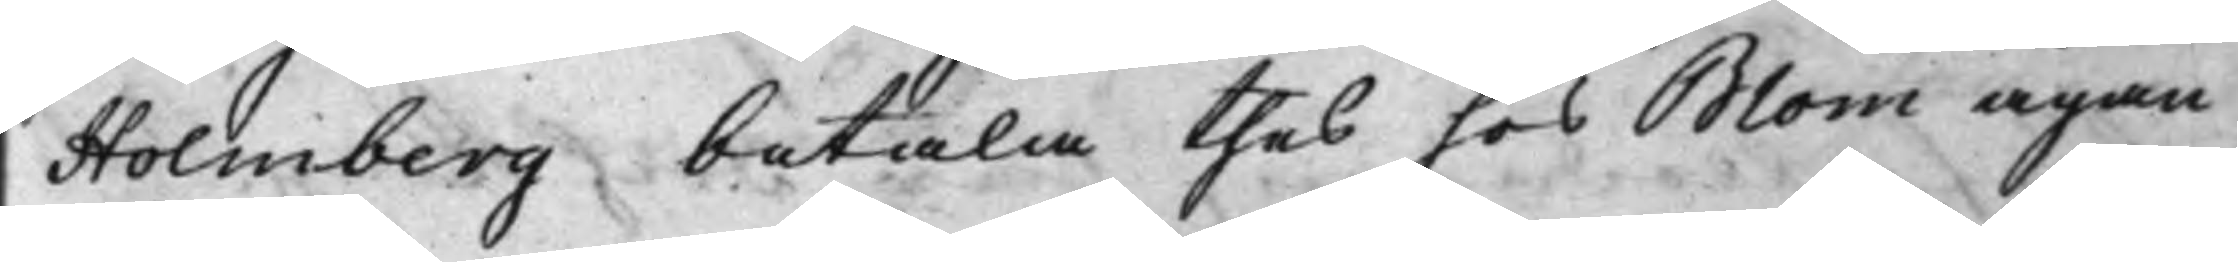Holmberg betala thes hos Blom ägan¬
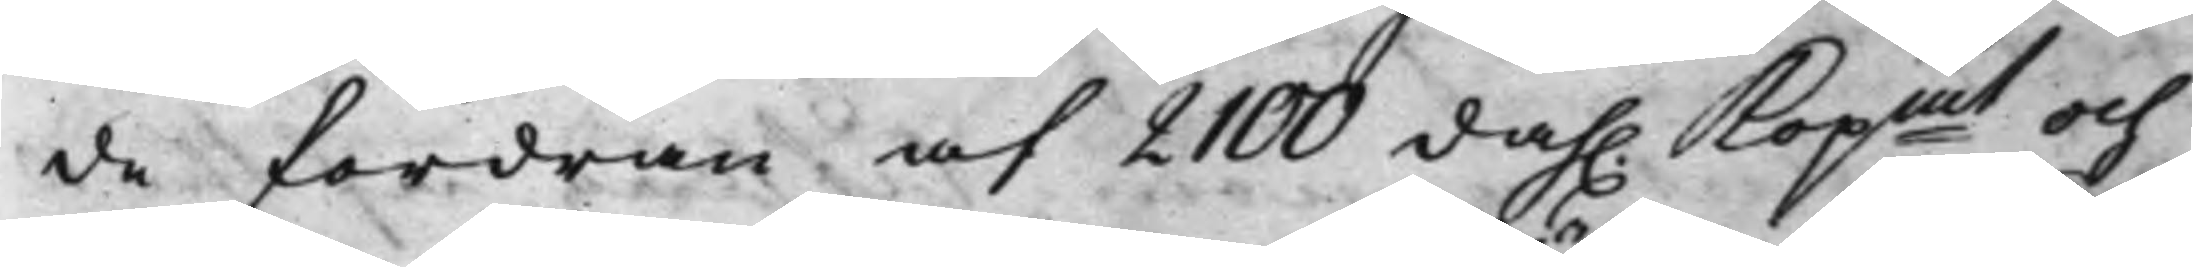de fordran af 2100 dah. Kopmt och 
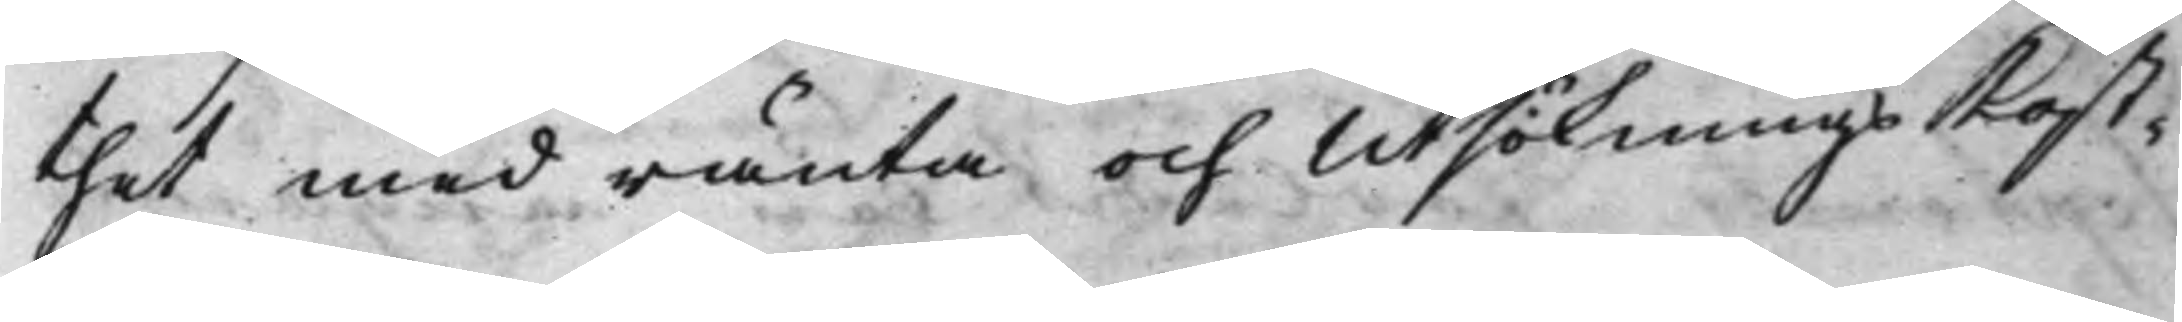thet med ränta och UtsökningsKost¬
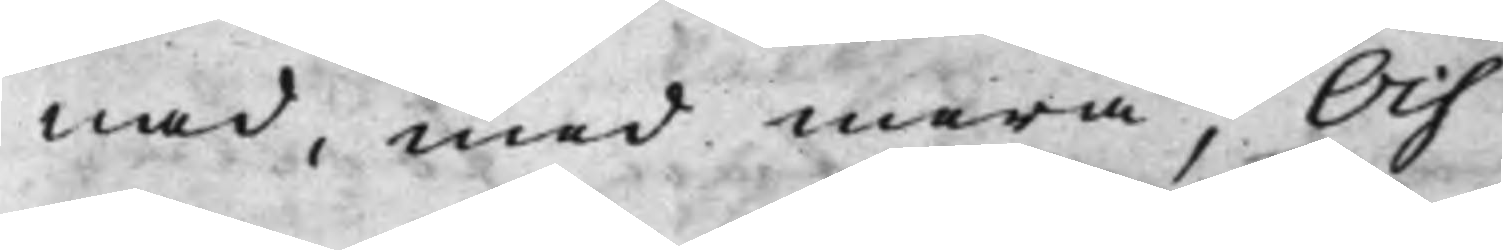nad, med mera; Och
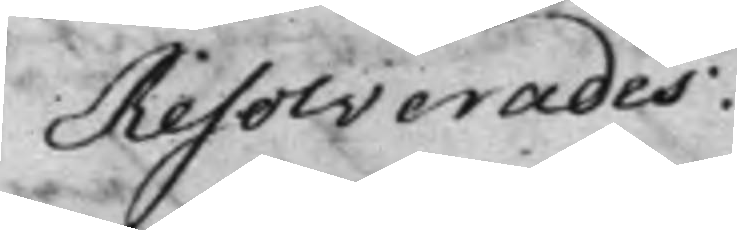Resolverades:
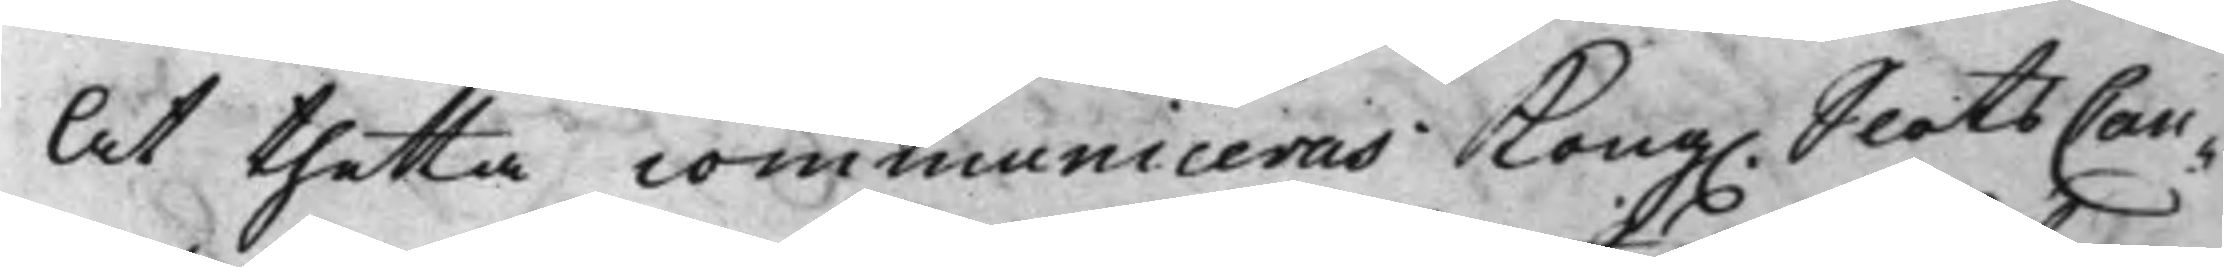At thetta communiceras Kong. SlotsCan¬ 
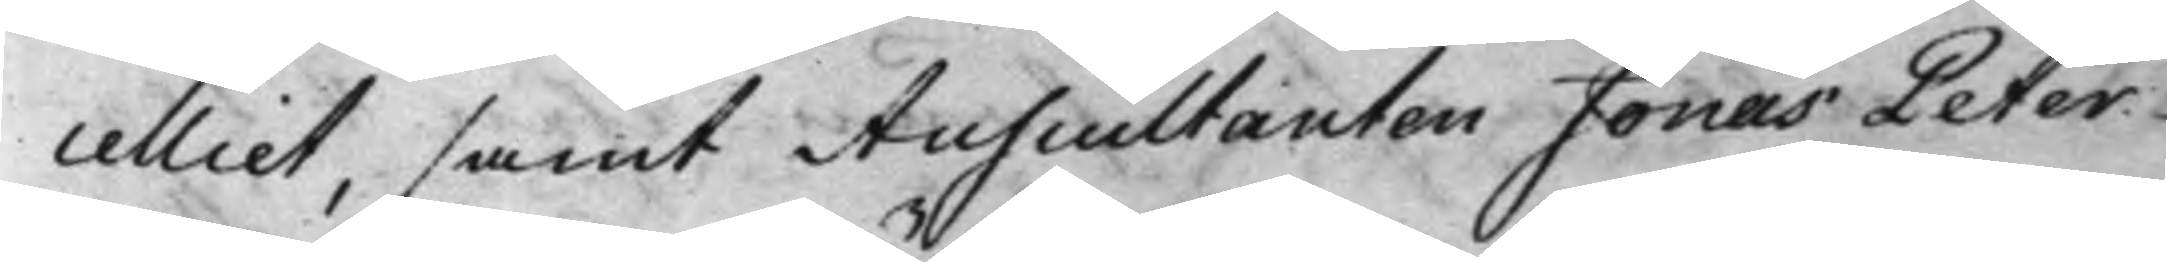celliet, samt Auscultanten Jonas Peter
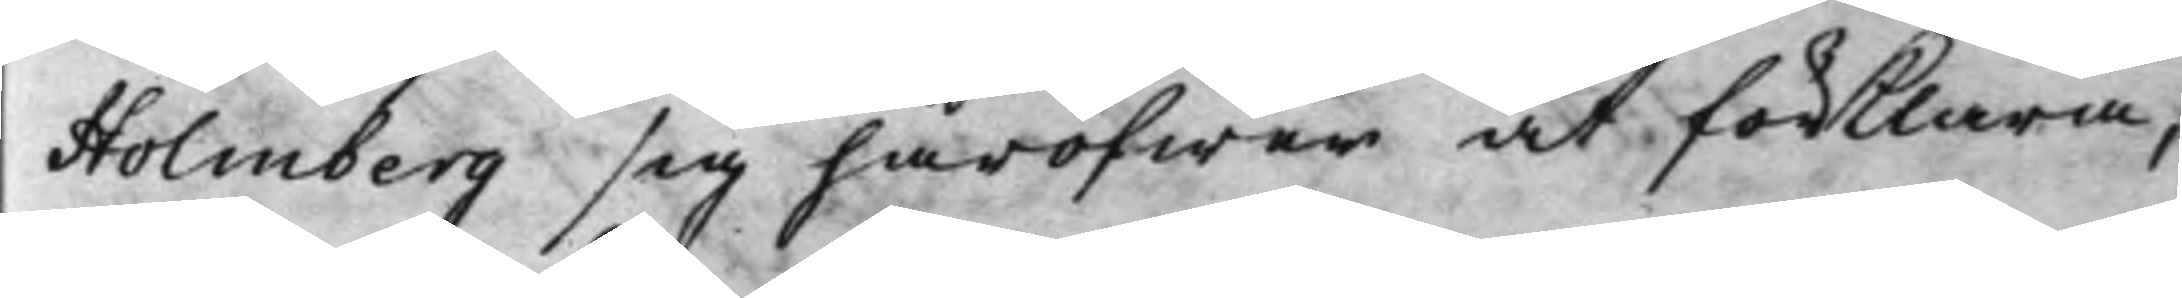Holmberg sig häröfwer at förklara,
